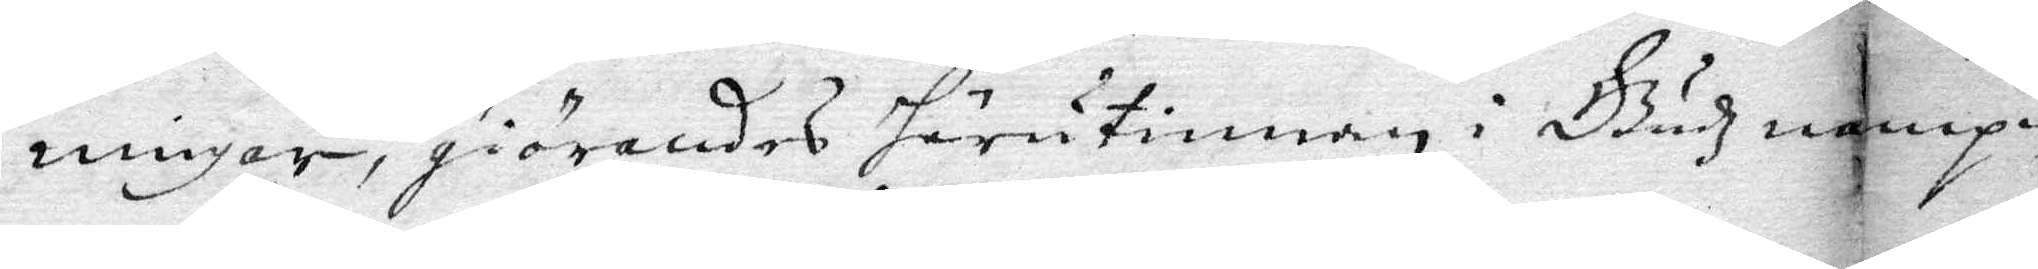ningar, giörandes härutinnan i Gudz nampn
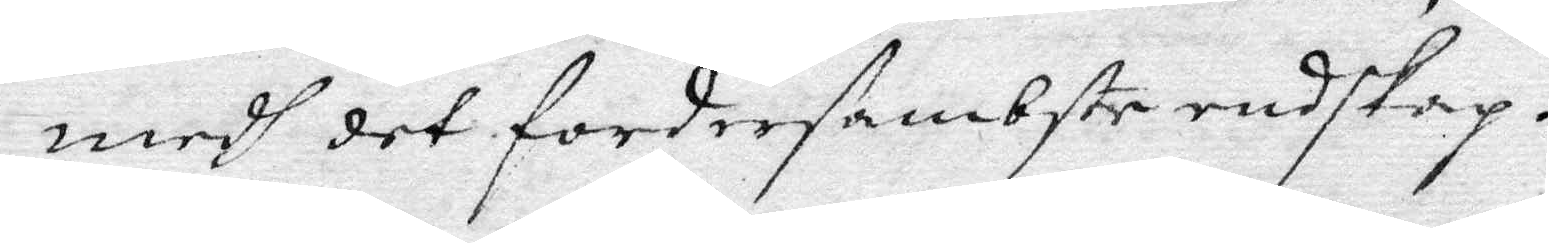medh det fordersambste redskap.
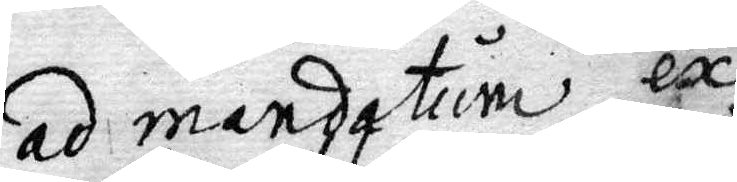ad mendatum ex
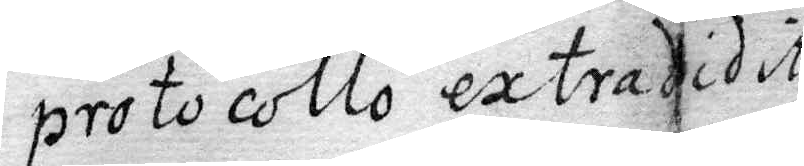protocollo extradidit
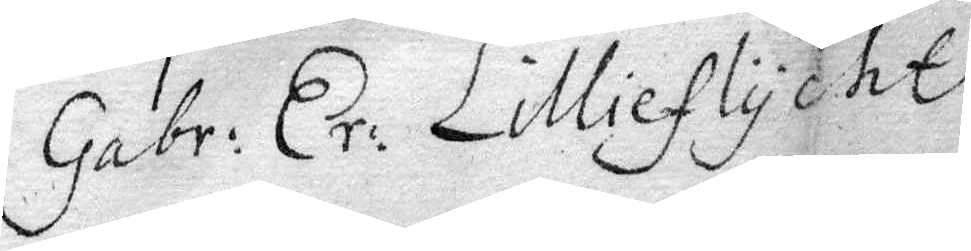Gabr: Er: Lillieflycht
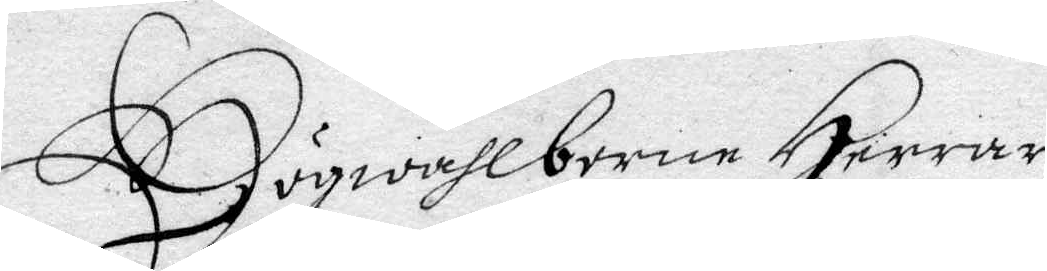Högwählborne Herrar,
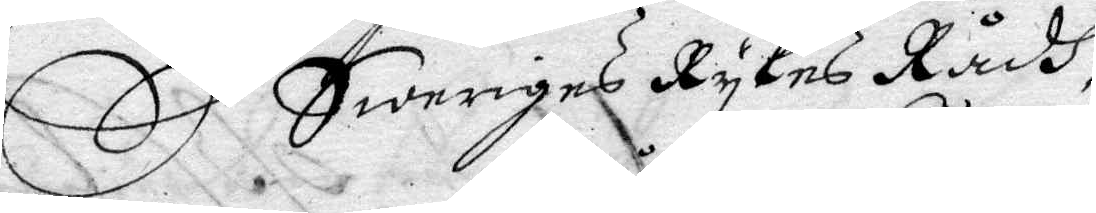Sweriges Rykes Rådh,
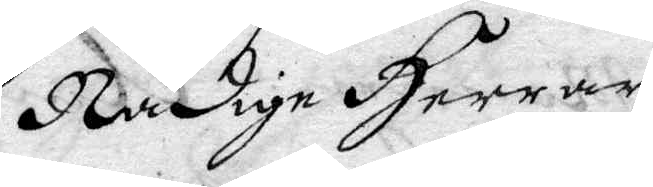Nådige Herrar,
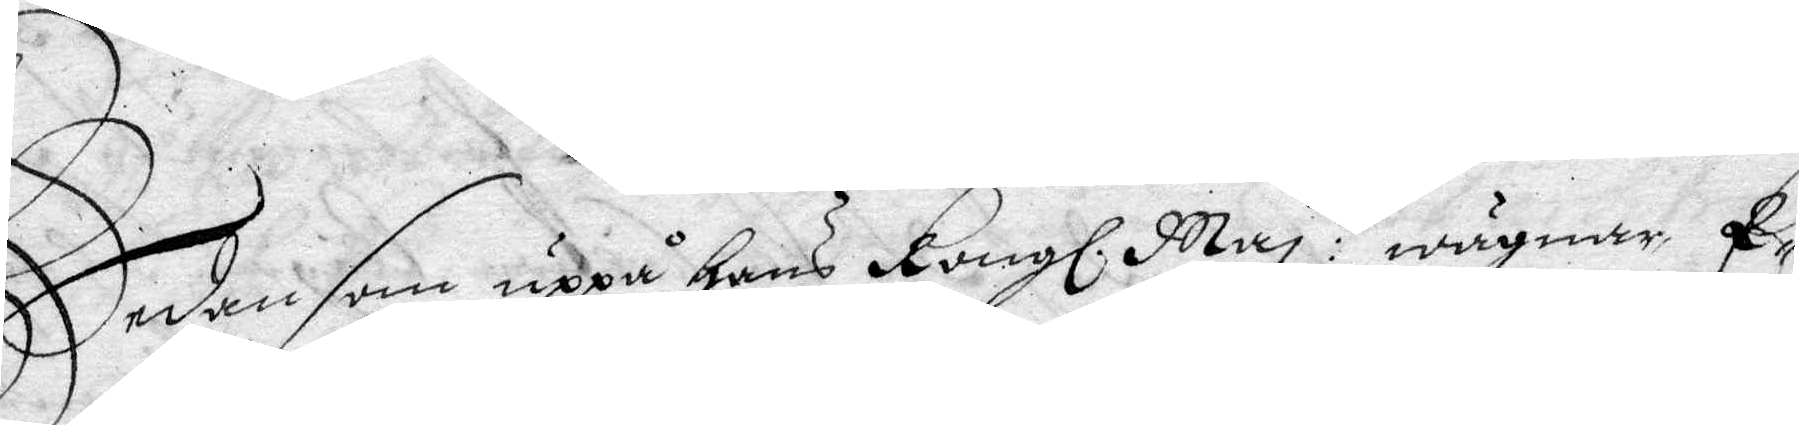Sedan som uppå Hans Kongl. May tz wägnar, E¬
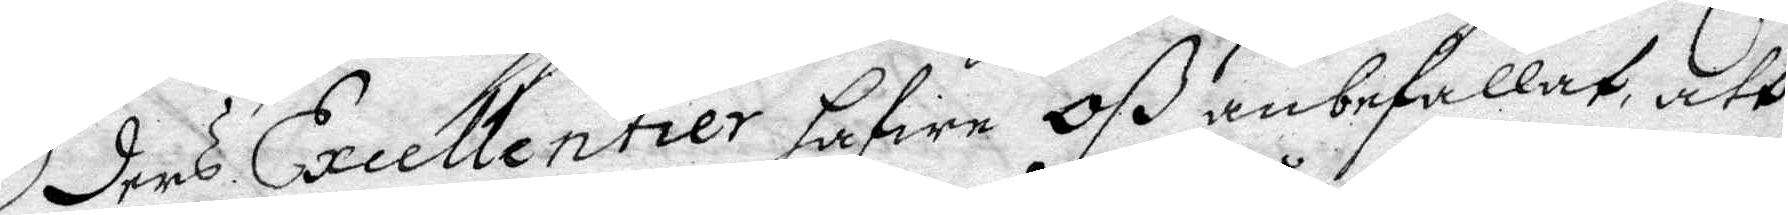ders Excellentier hafwe Oß anbefallat, att
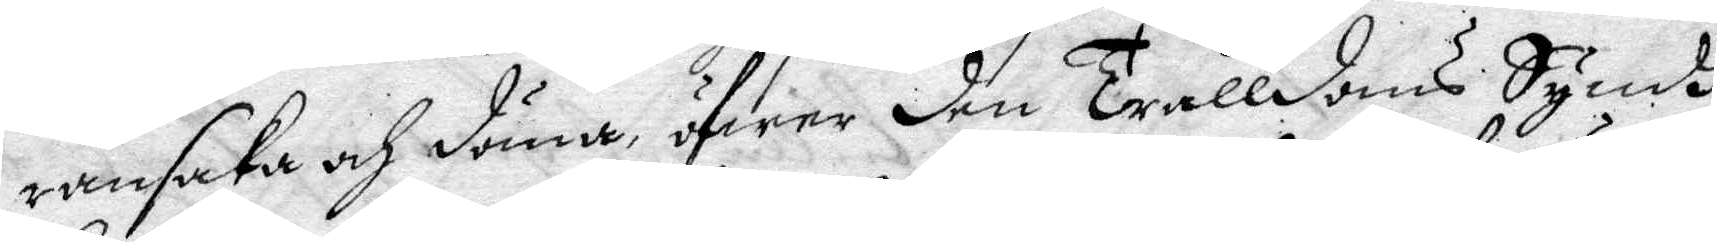ransaka och döma, öfwer den trålldoms Syndh,
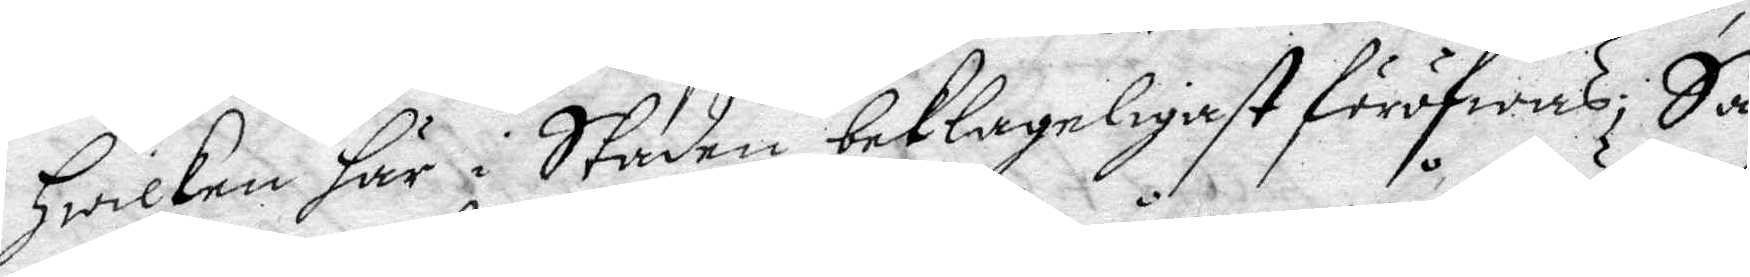Hwilken här i Staden beklageligast föröfwas; Så
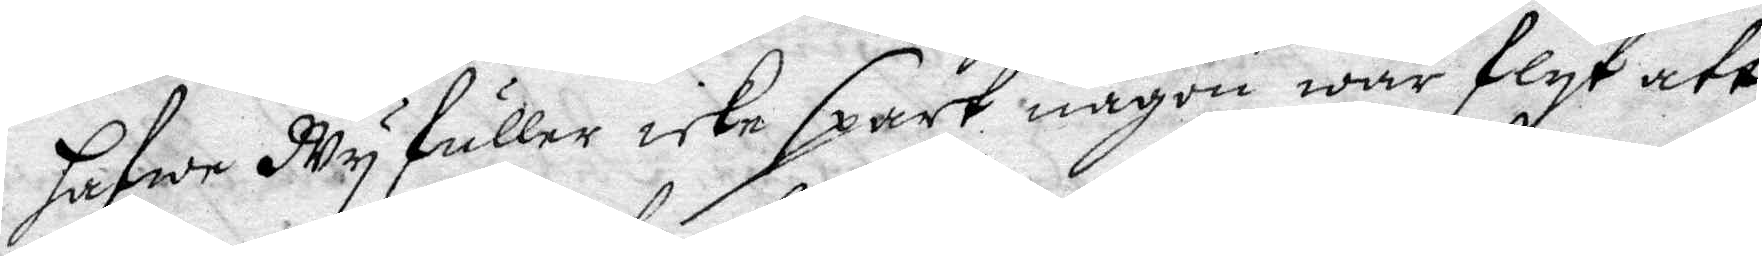hafwe Wy fuller icke spart någon wår flyt att
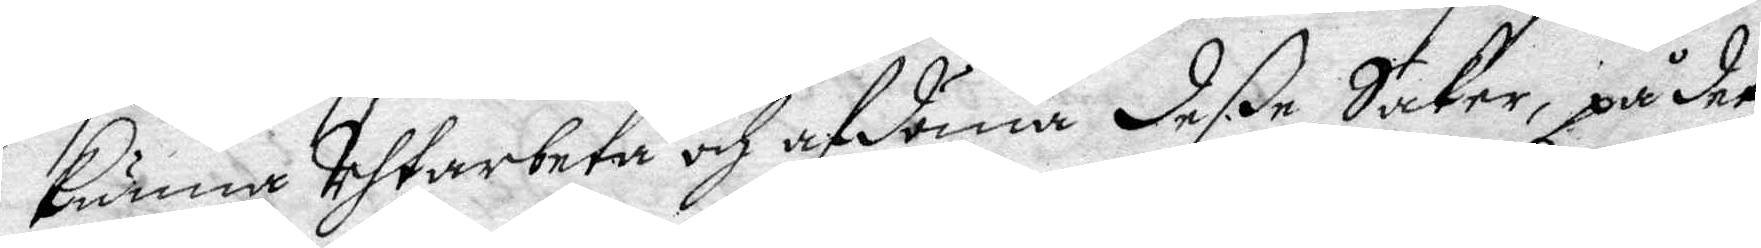kunna Uhtarbeta och afdöma deße Saker, på det
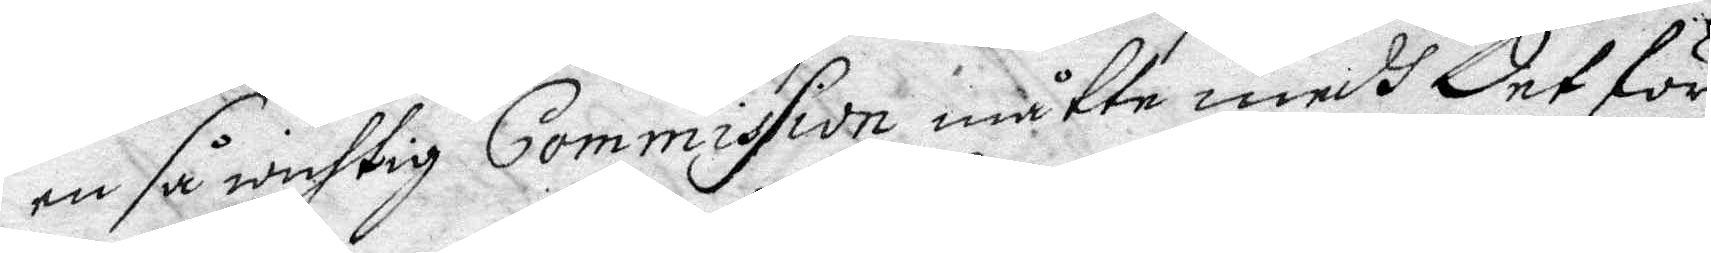en så wichtig Commission måtte medh det för¬
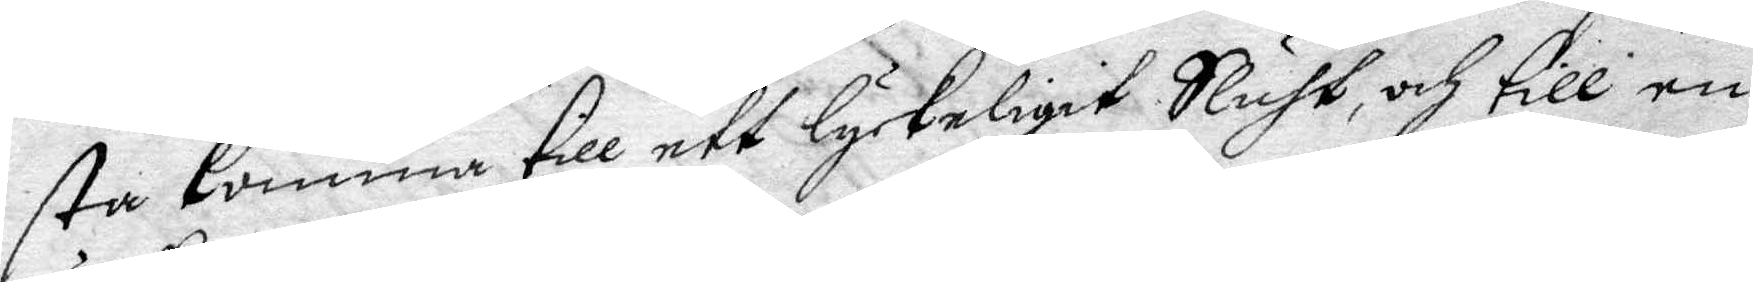sta komma till ett lyckeligit Sluht, och till en
